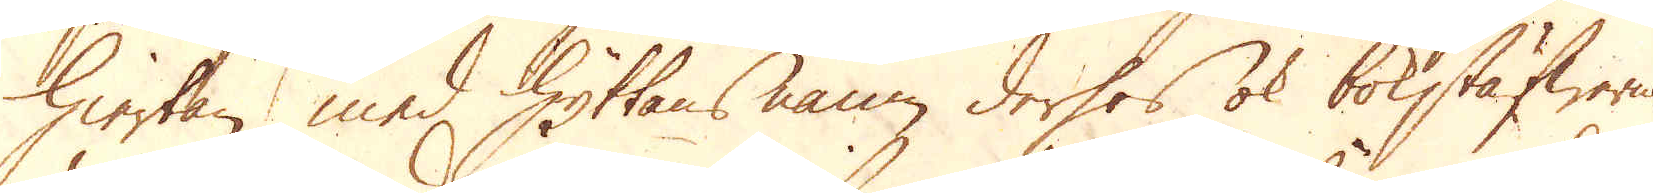hiertan med Hyttans namn derhes ok bokstäfwerna,
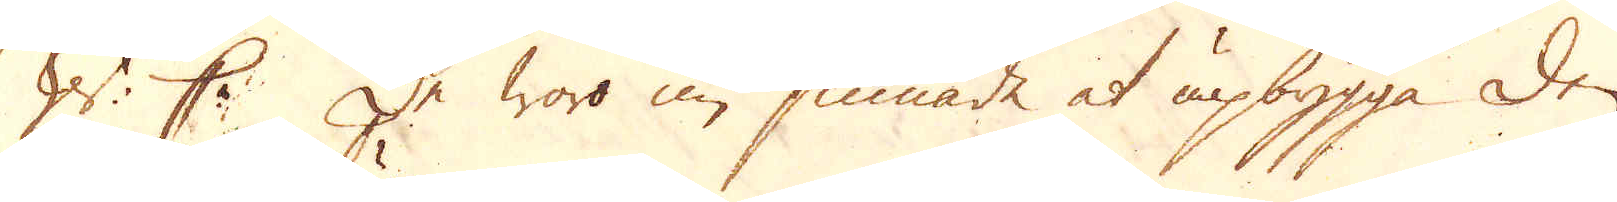W: C: De woro nu sinnade at upbygga den
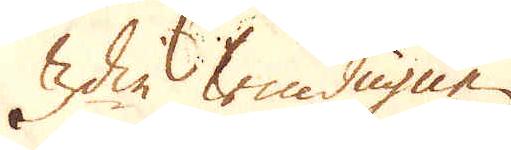3die windugnen.
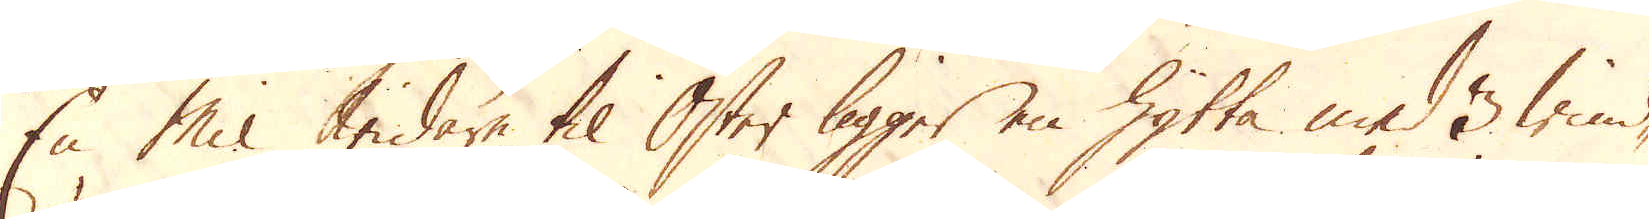En Mil widare til Öster ligger en hytta med 3 wind-
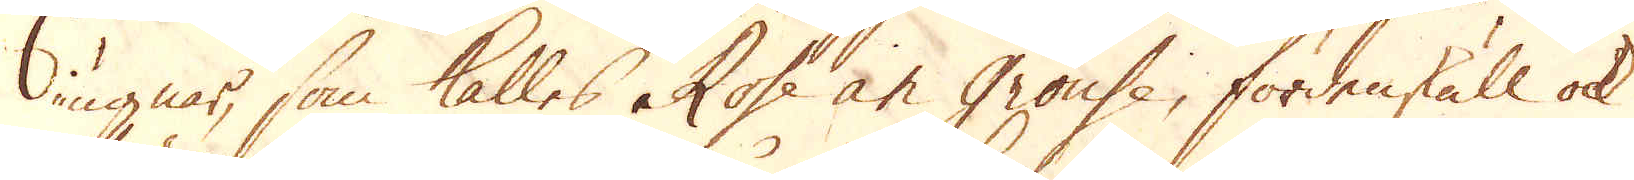ugnar, som kallas Rose an grouse, fördenskull ok
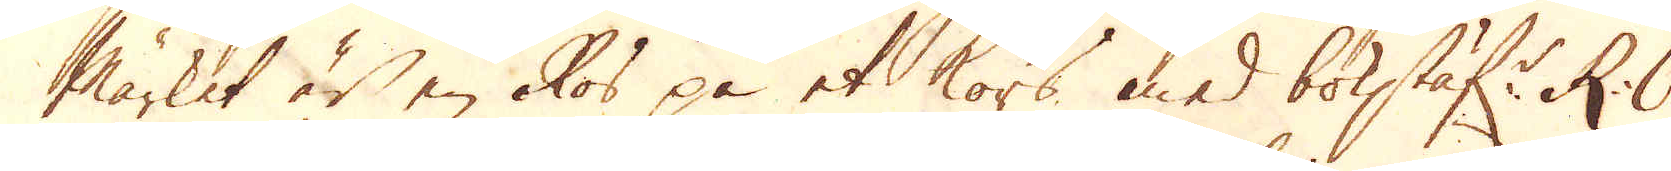Märket är en Ros på et kors med bolstäf:r R: O.
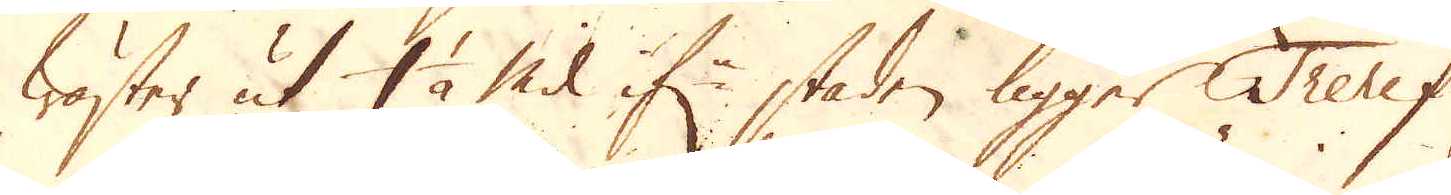Wäster ut 1 1/2 Mil if:r staden ligger Trerif-
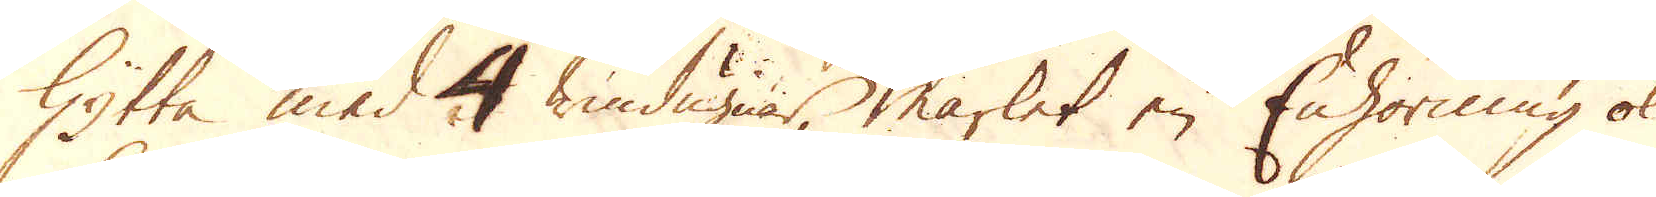Hytta med 4 windugnar märket en Enhörning ok
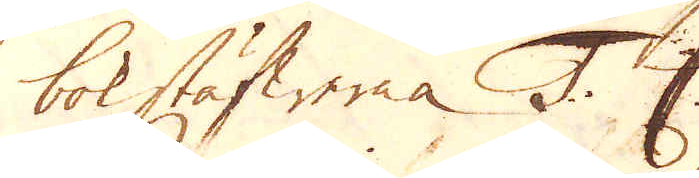bokstäfwerna T. C.
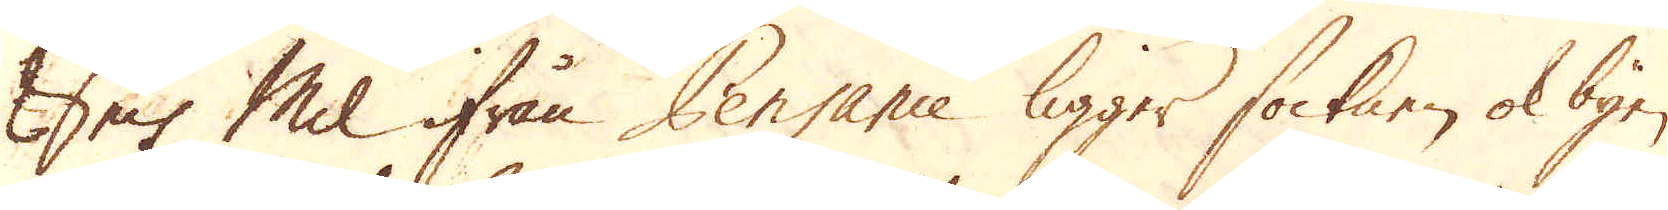Sex Mil ifrån Penganie ligger socknen ok byen
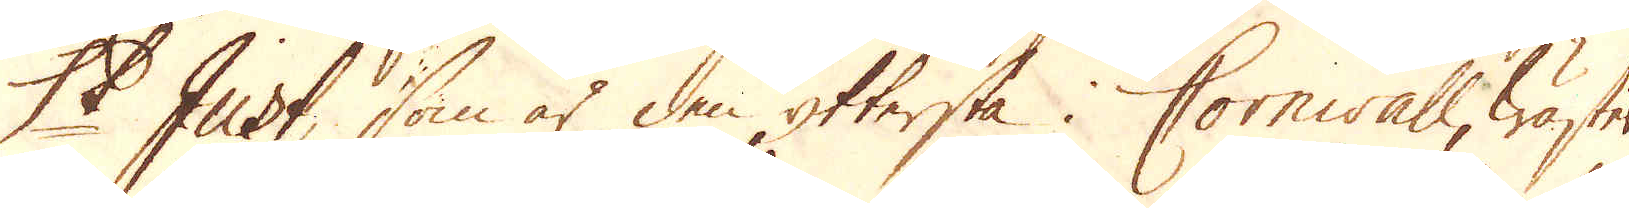St Just, som är den yttersta i Cornwall, Wäster
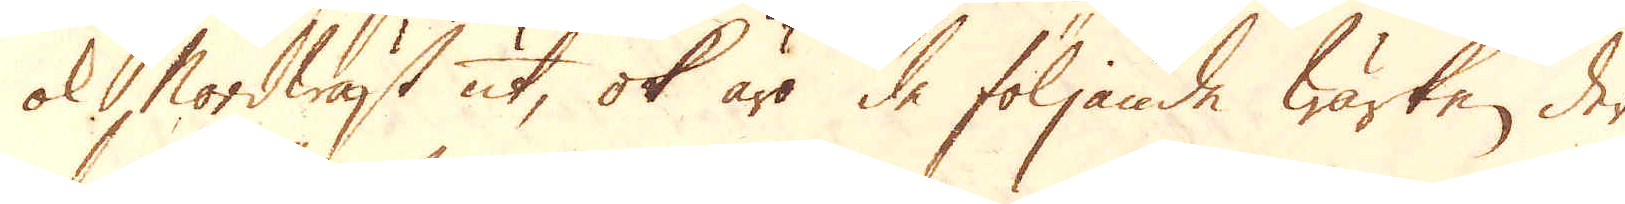ok Nordwäst ut, ok äro de följande wärken, der
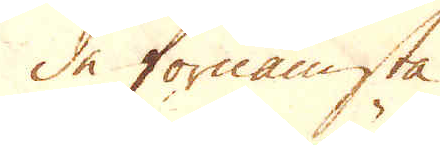de förnämsta.
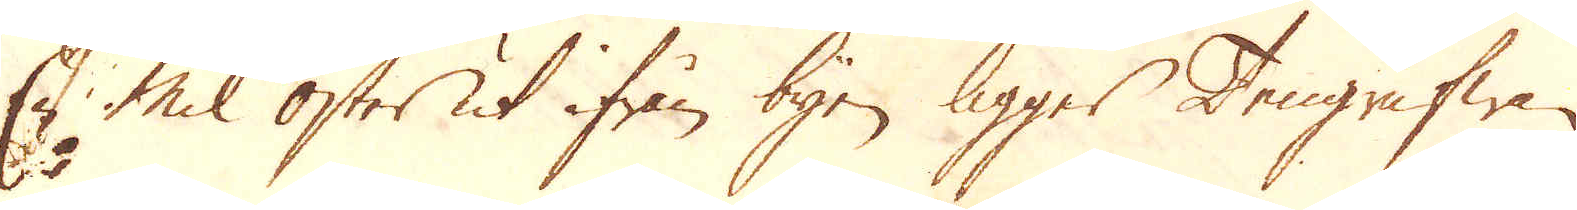En Mil Öster ut ifrån byen ligger Tengrufwan
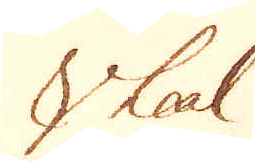Vheal
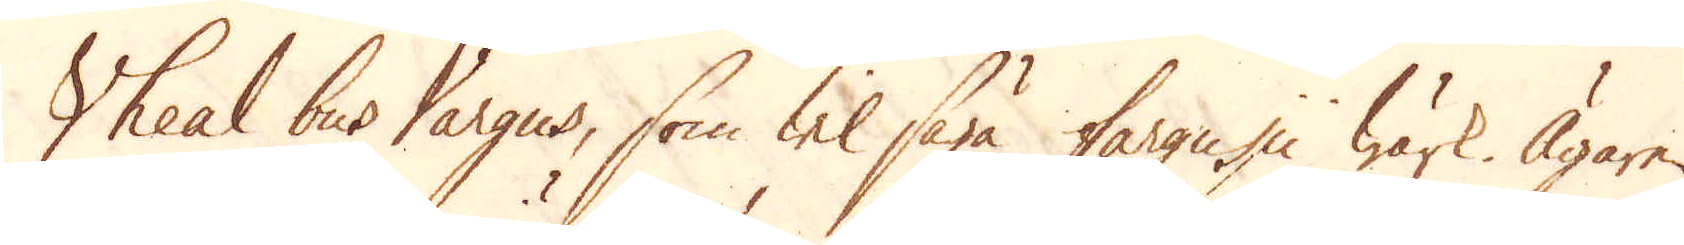Vheal bus Vargus, som will säga fargui wärk. Ägaren
